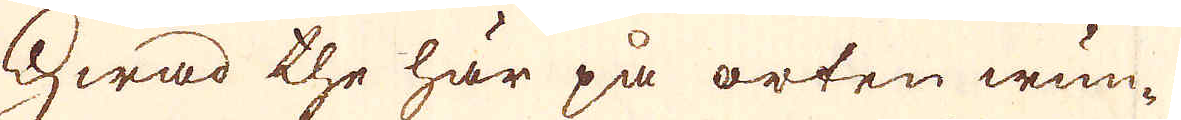Hwad the här på orten wun-
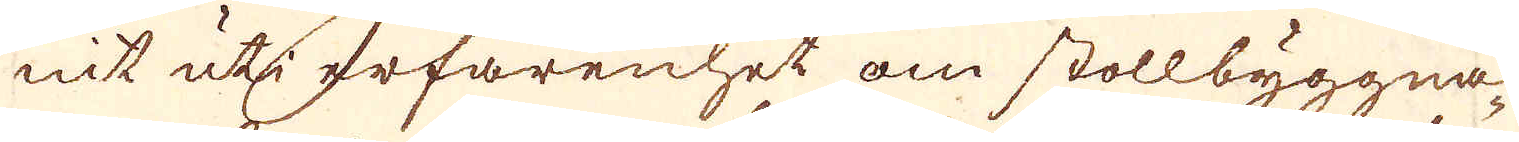nit uti erfarenhet om stollbyggna-
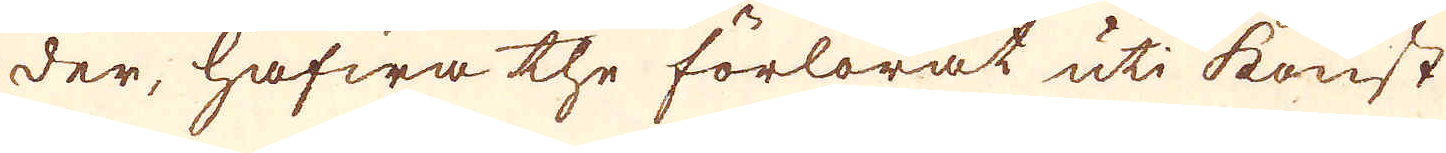der, hafwa the förlorat uti konst
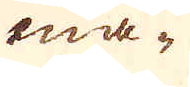ma-
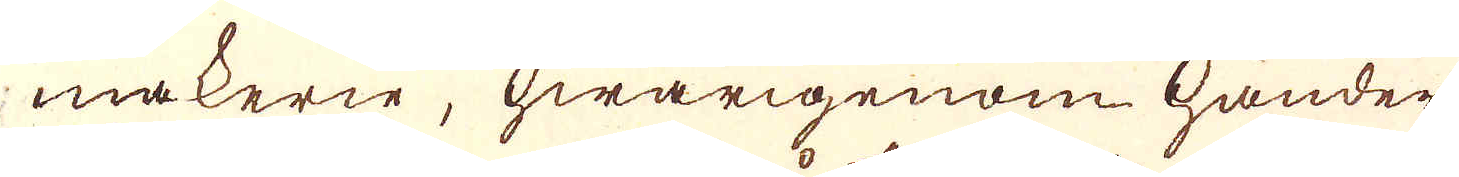makerie, hwarigenom händer
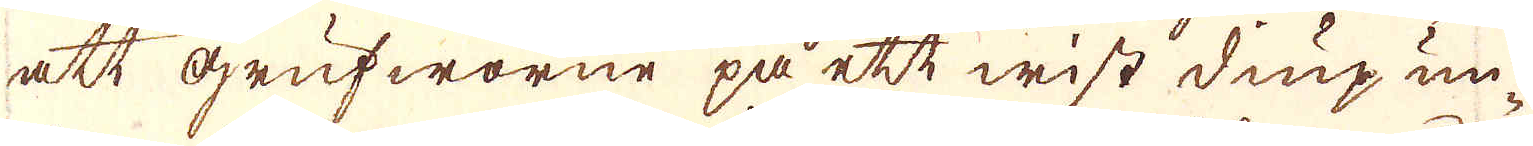att grufworne på ett wist diup un-
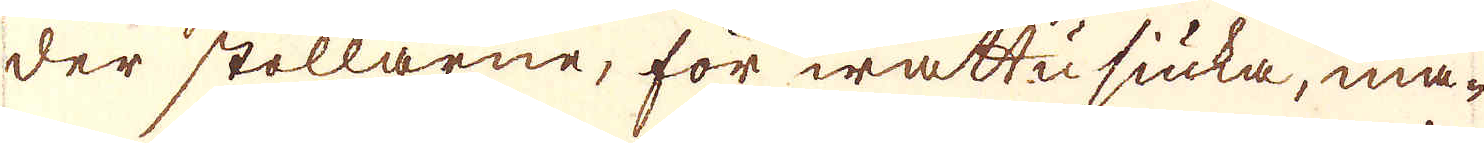der stollarne, för wattn siuka, må-
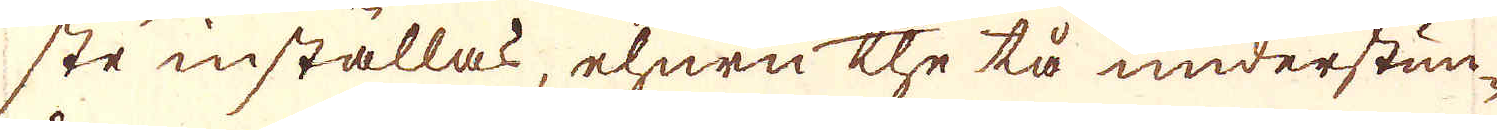ste inställas, ehuru the tå understun-
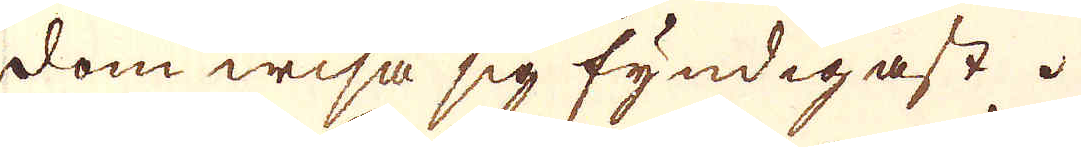dom wisa sig fyndigast.
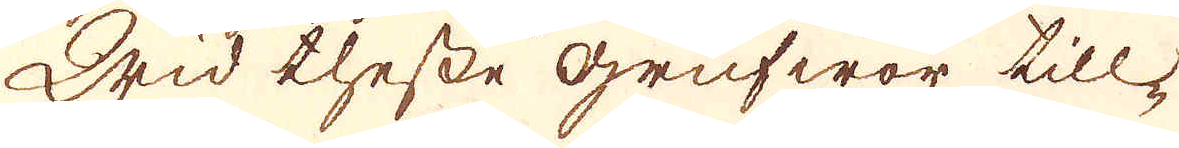Wid thesse Grufwor till-
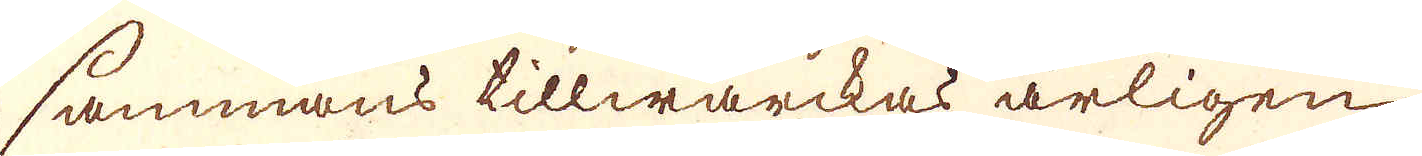sammans tillwärckas årligen
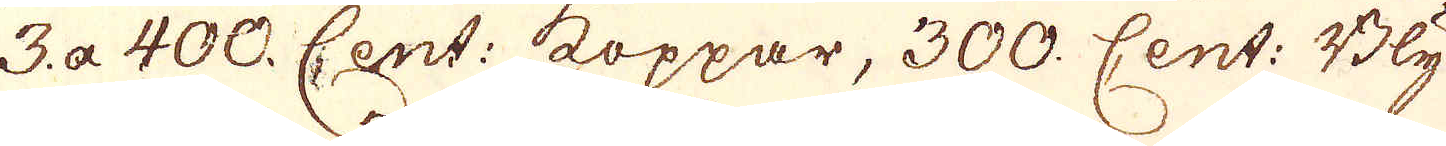3. a 400. Cent: koppar, 300. Cent: Bly
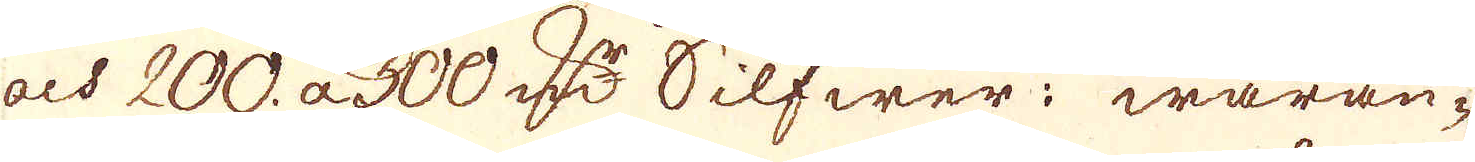och 200. a 300 D:r Silfwer; waran-
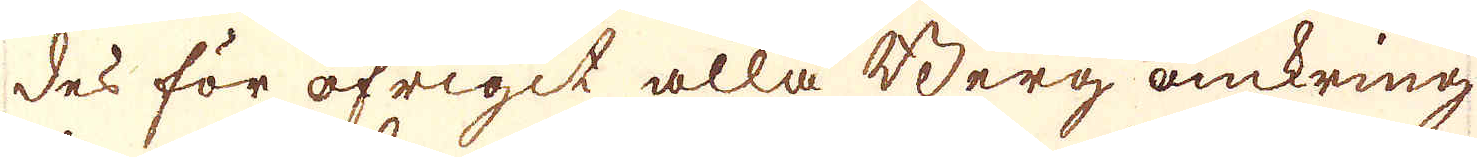des för öfrigit alla Berg omkring
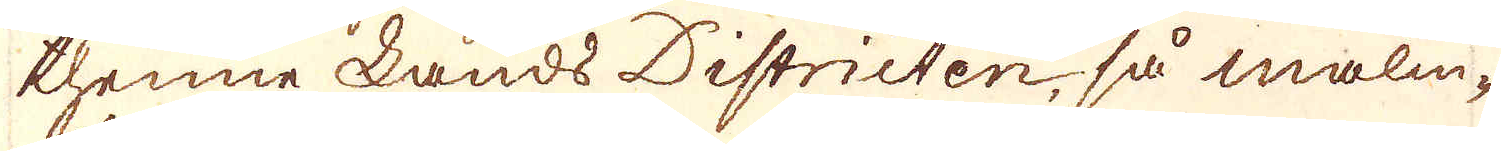thenne Lands Districten så malm-
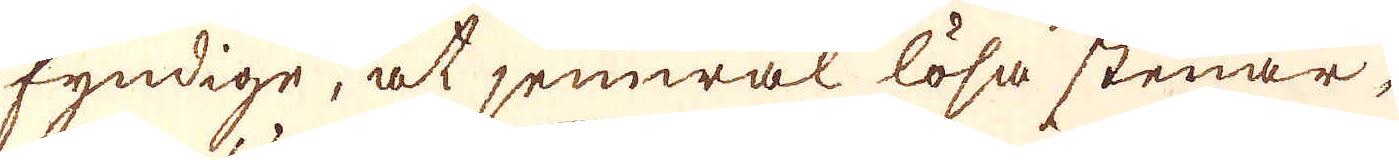fyndige, at jemwäl lösa stenar,
